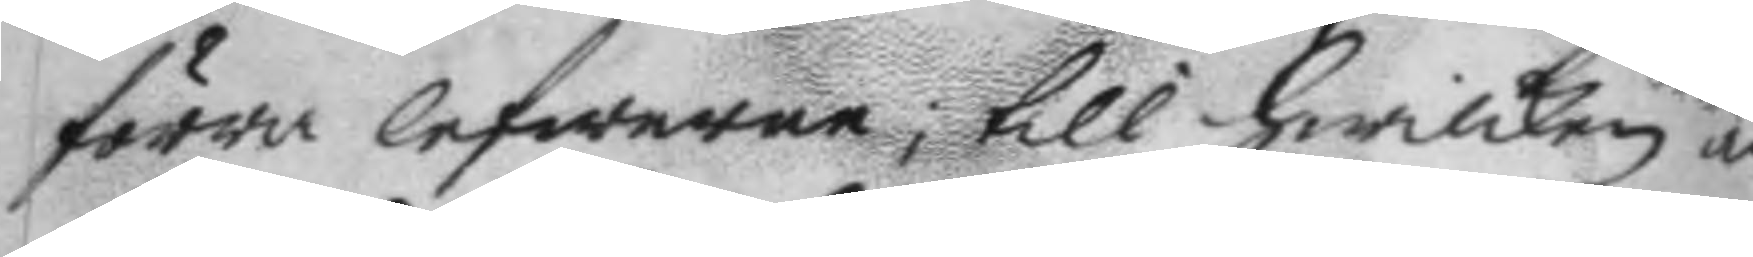förra lefwerne, till hwilken än¬
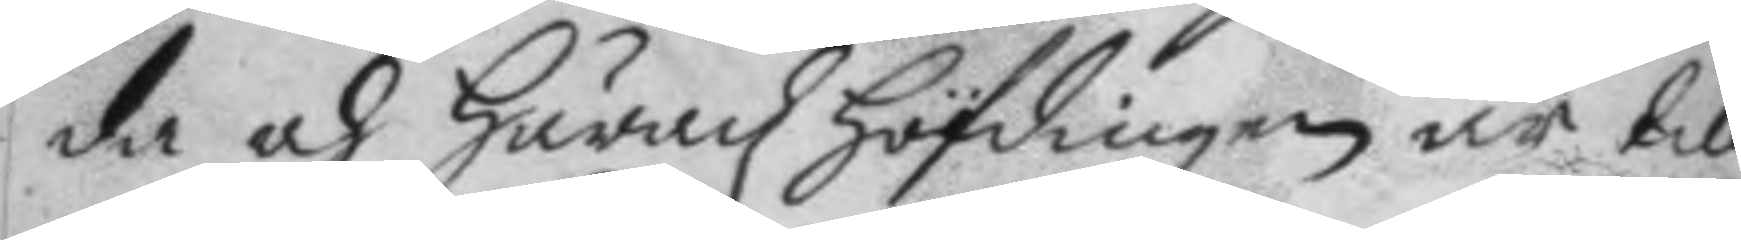da och häradz höfdingen är till¬
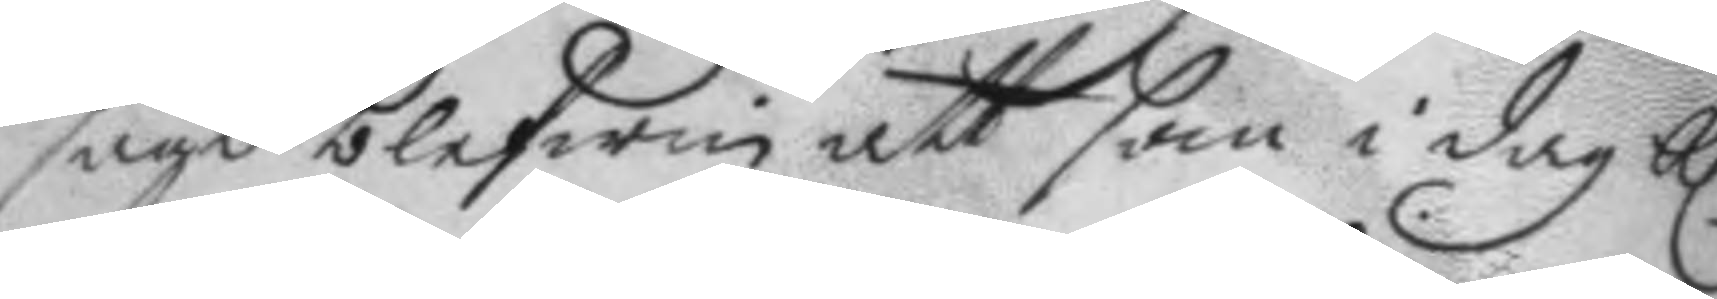sagd blefwin att som i dag kl. 
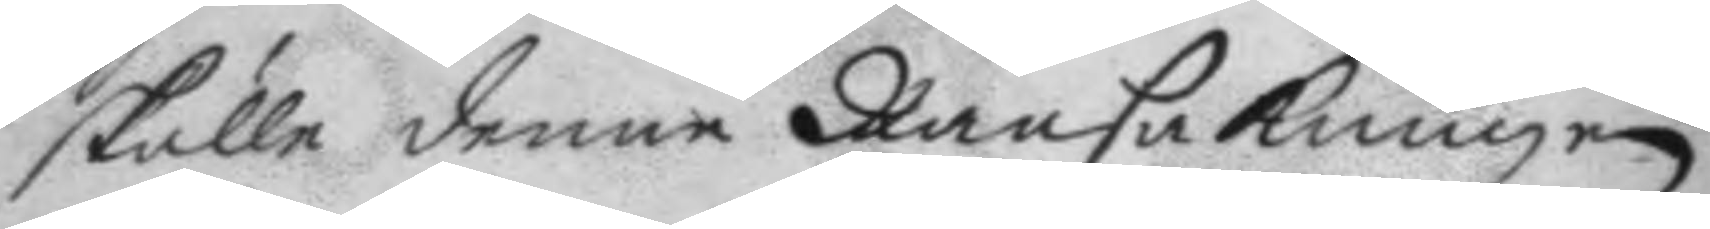skulle denne Ransakningen
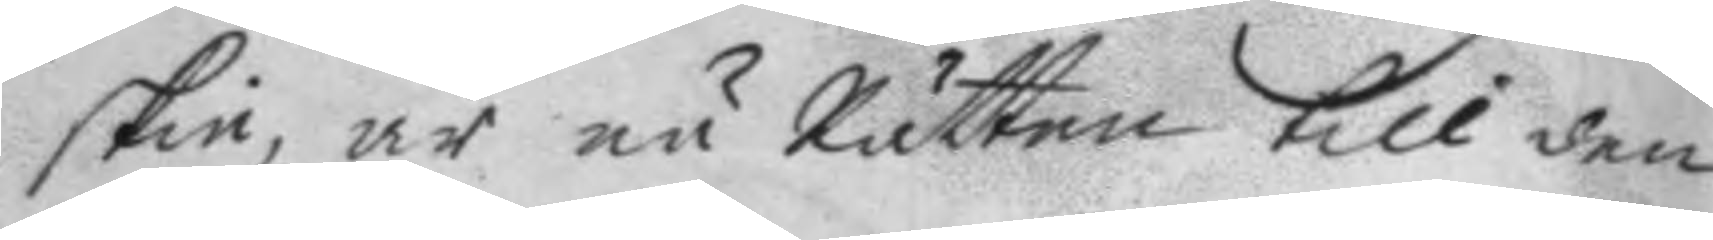skie, är nu Rätten till den
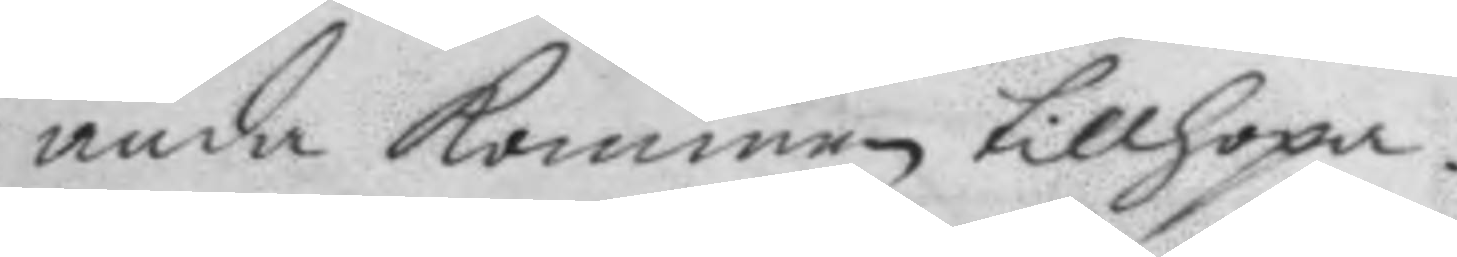ända kommen tillhopa.
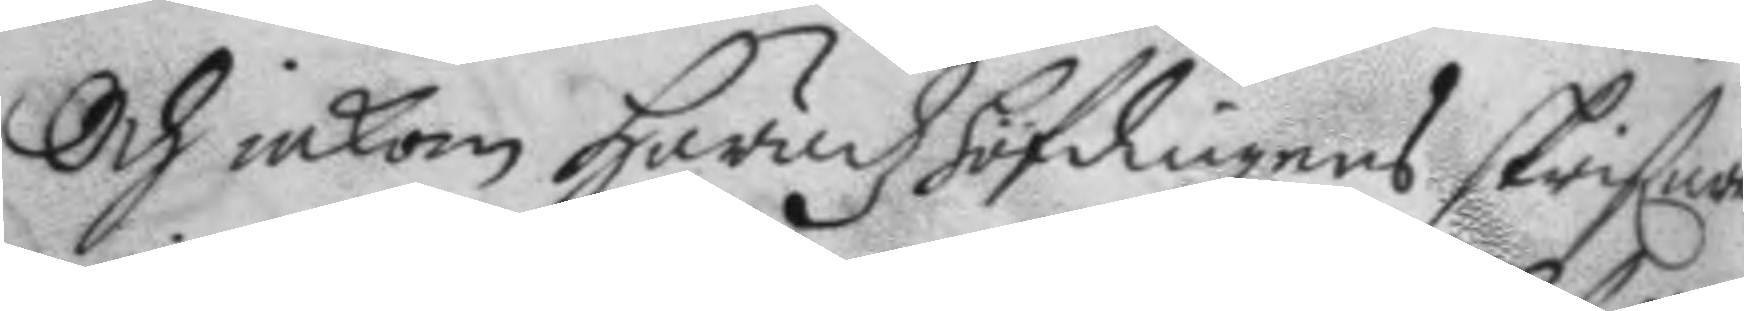och inkom häradzhöfdingens skrifna
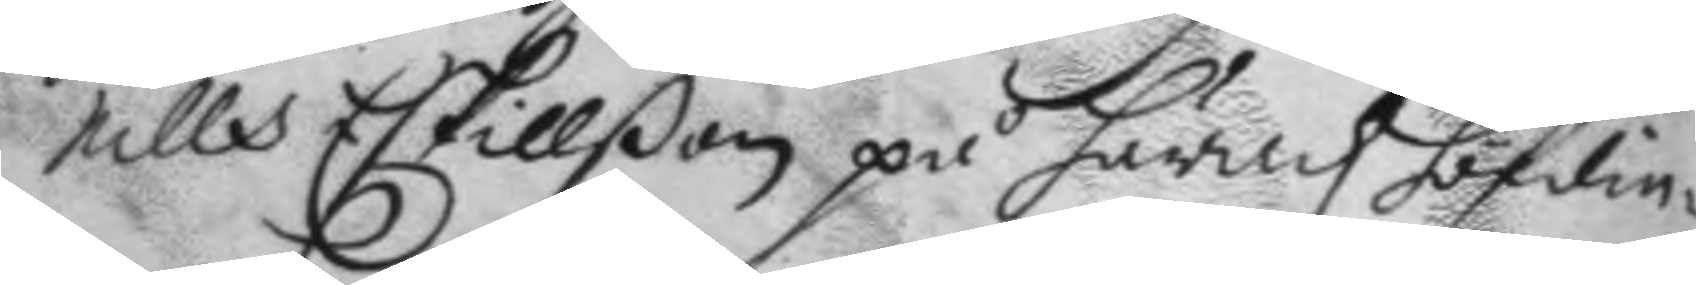Nills Eskillßon på häradz höfdin¬
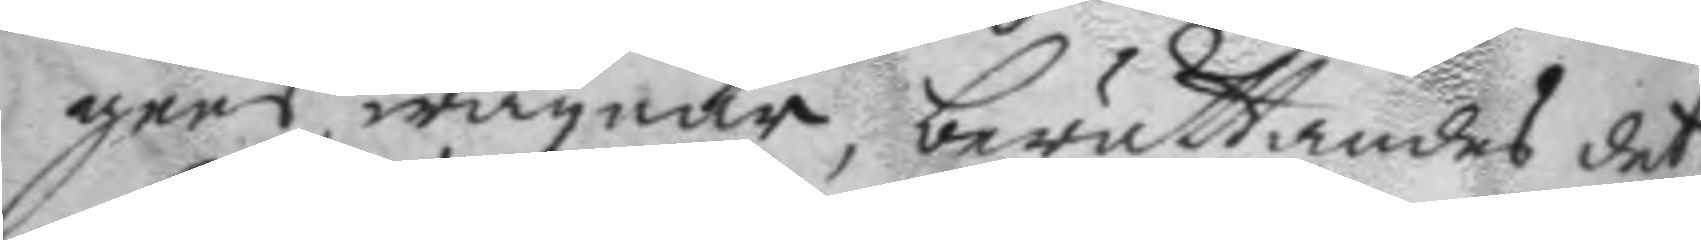gens wägnar, berättandes det
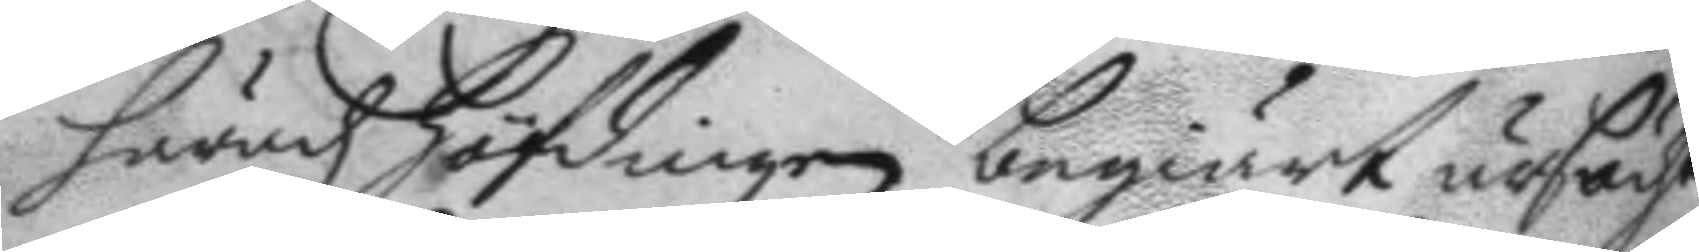häradz höfdingen begiärt ursächt
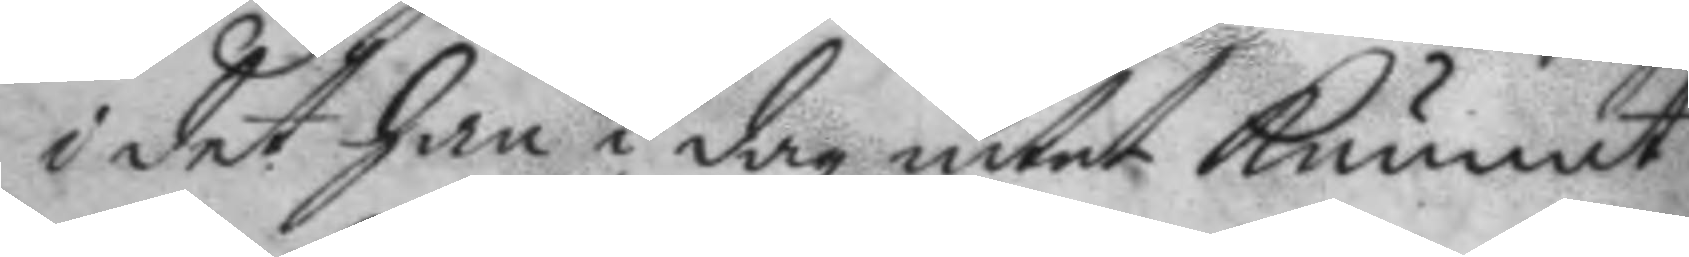i det han i dag intet kunnat
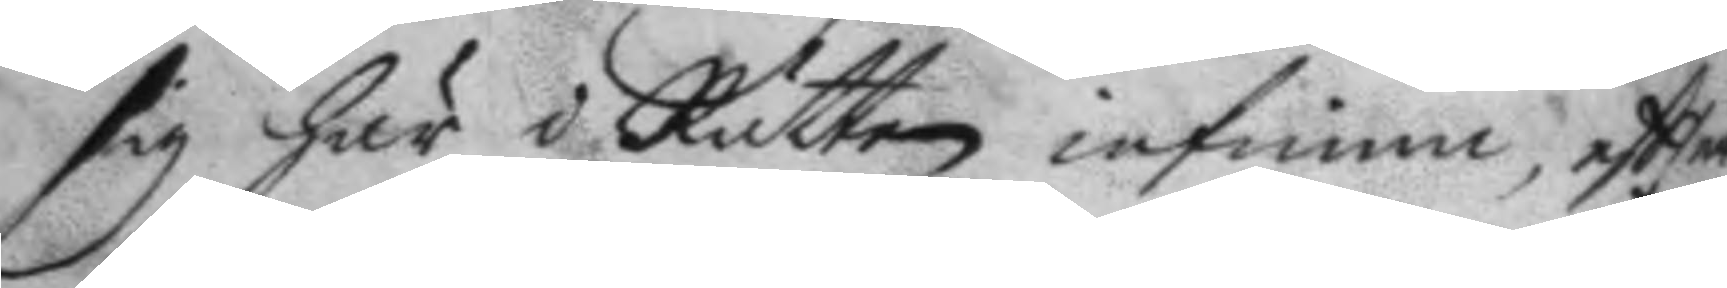sig här i Rätten infinna, eftter
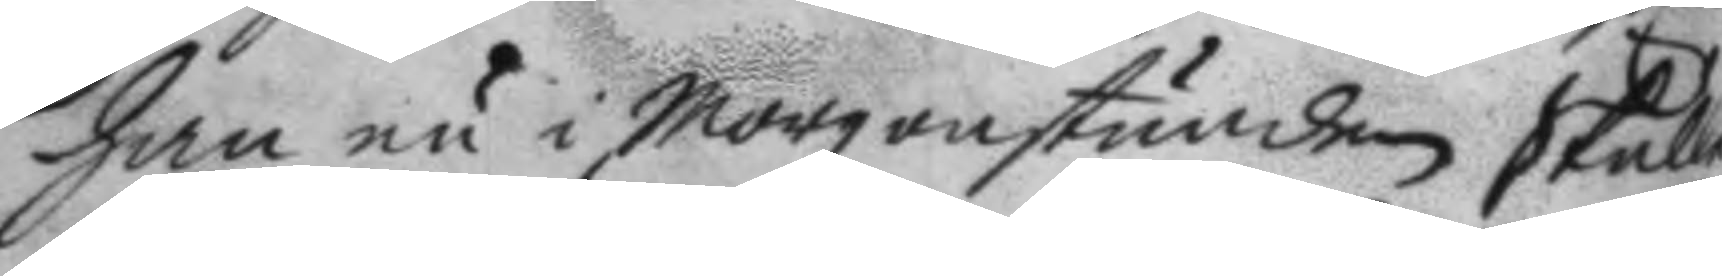han nu i morgonstunden skulle
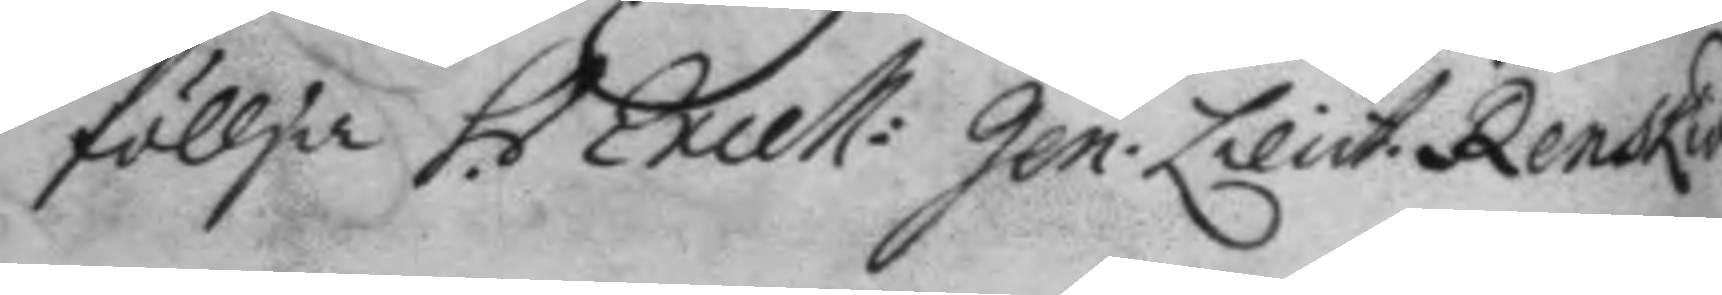föllja h. Excell: Gen. Lieut. Rensköld
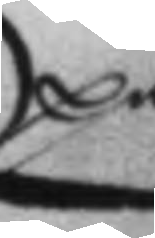på
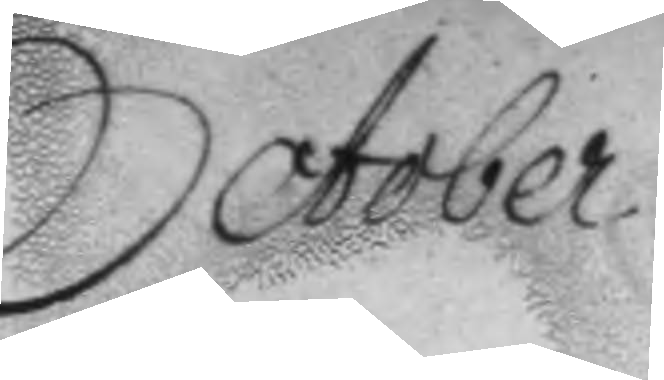October
